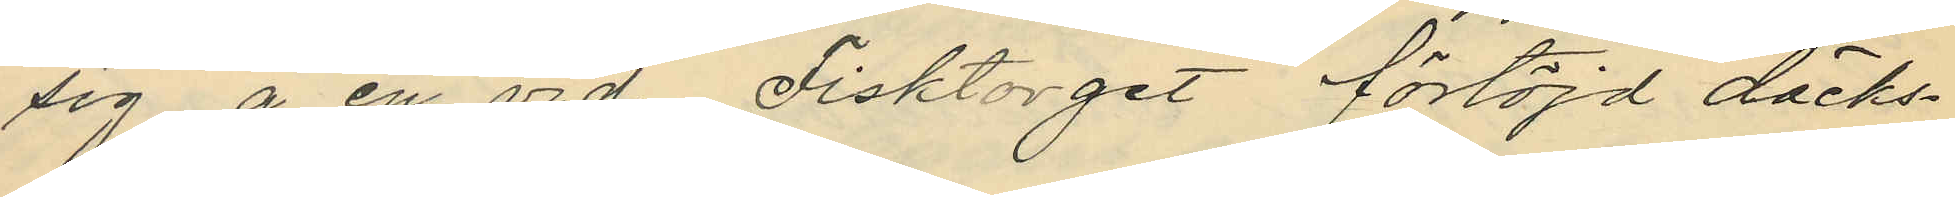sig å en vid Fisktorget förtöjd däcks¬
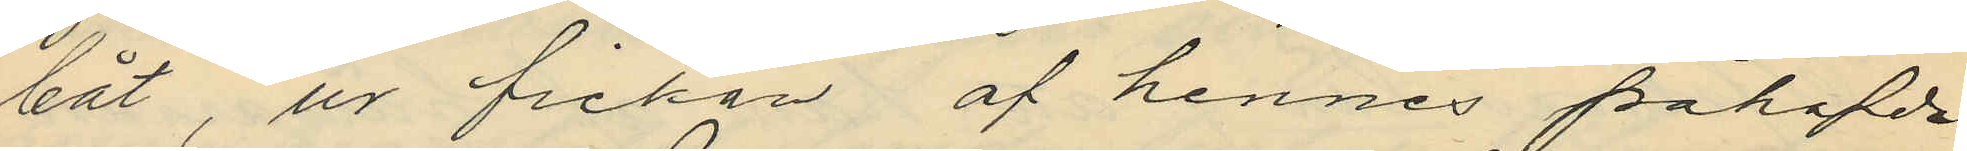båt, ur fickan af hennes påhafda
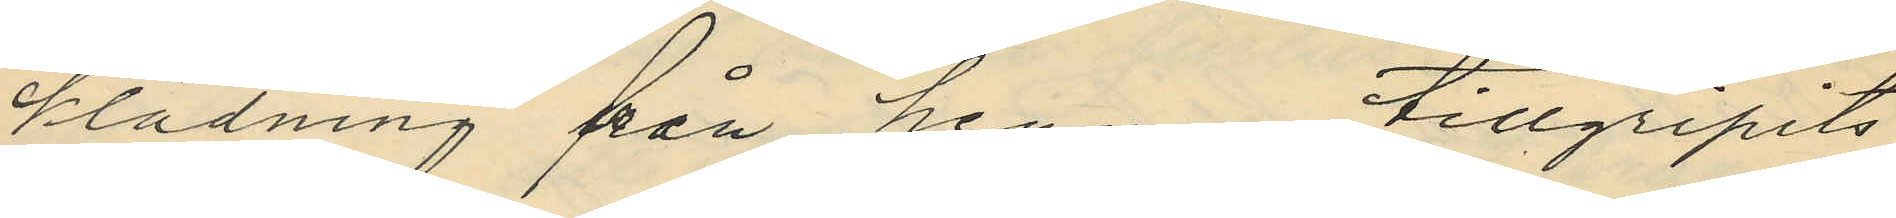klädning från henne tillgripits
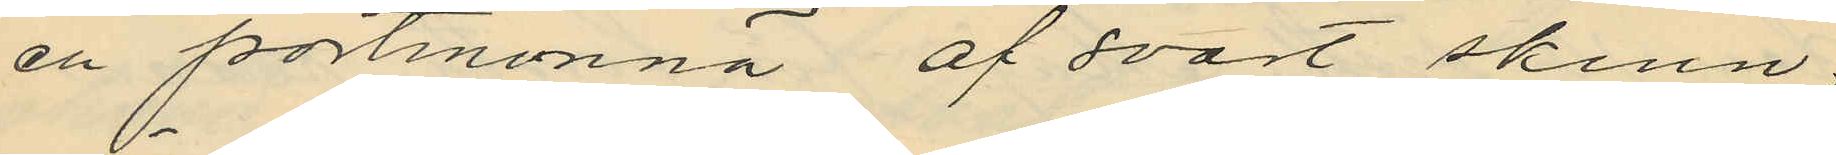en portmonnä af svart skinn,
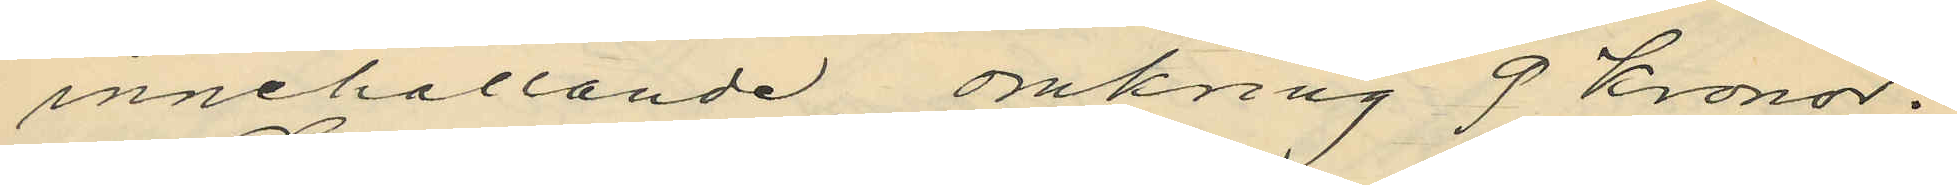innehållande omkring 9 kronor.
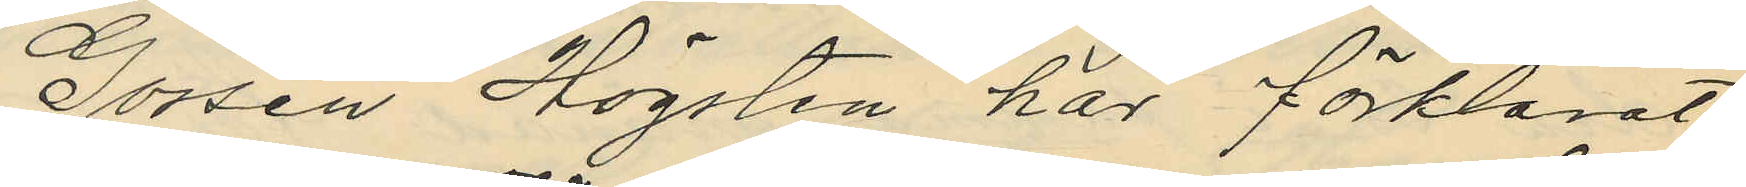Gossen Högsten har förklarat,
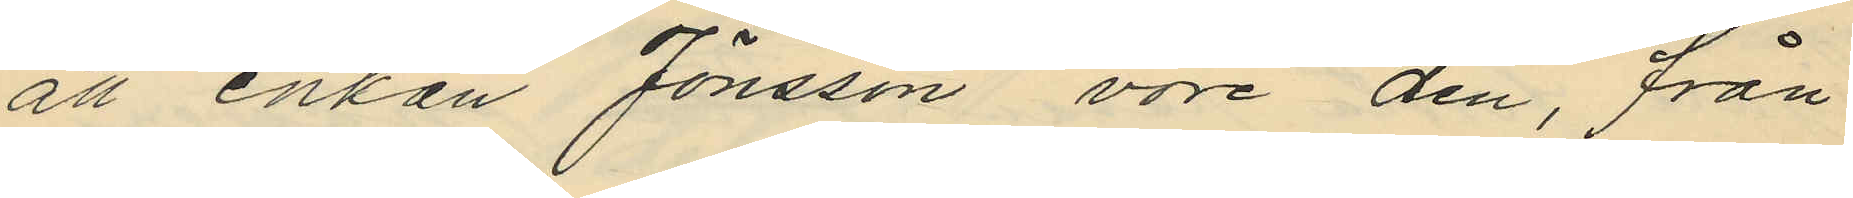att enkan Jönsson vore den, från
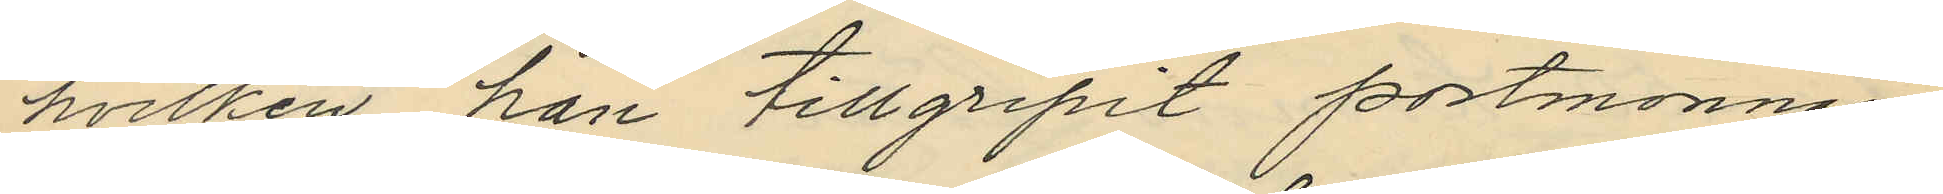hvilken han tillgripit portmonnäen
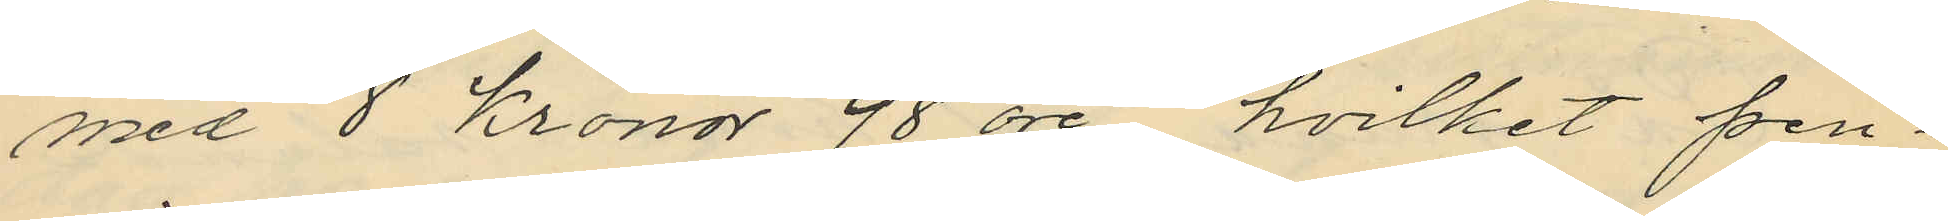med 8 kronor 98 öre, hvilket pen¬
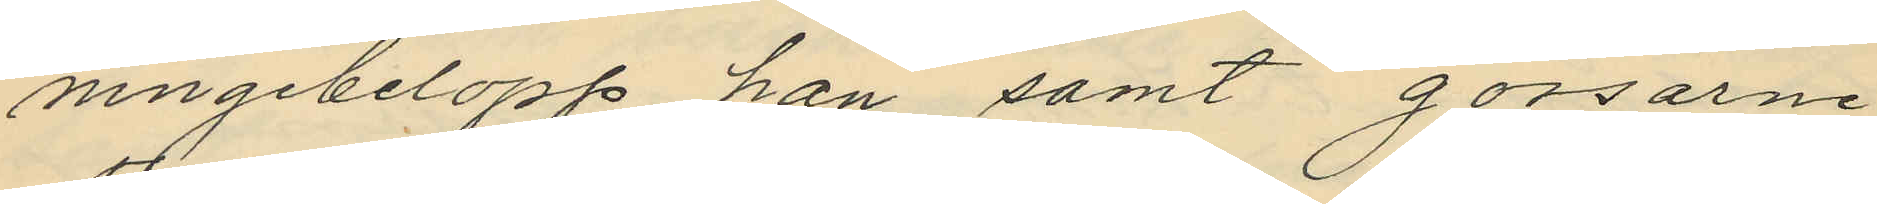ningebelopp han samt gossarne
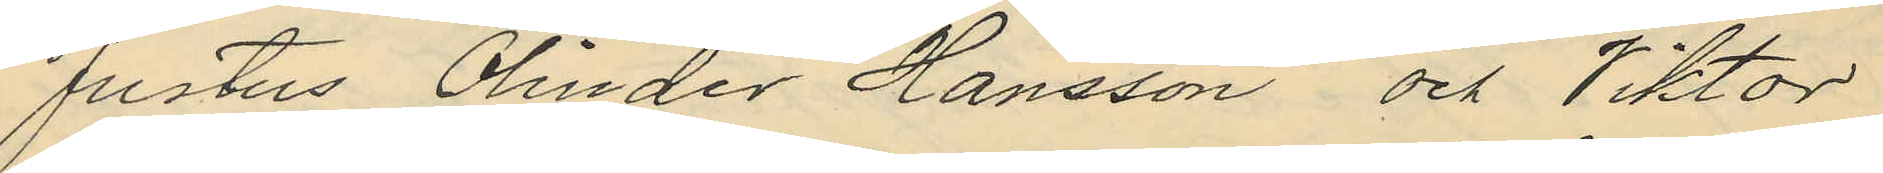Justus Olinder Hansson och Viktor
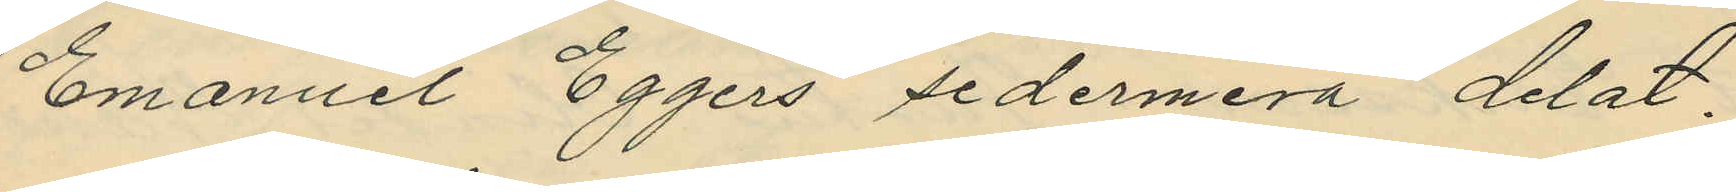Emanuel Eggers sedermera delat.
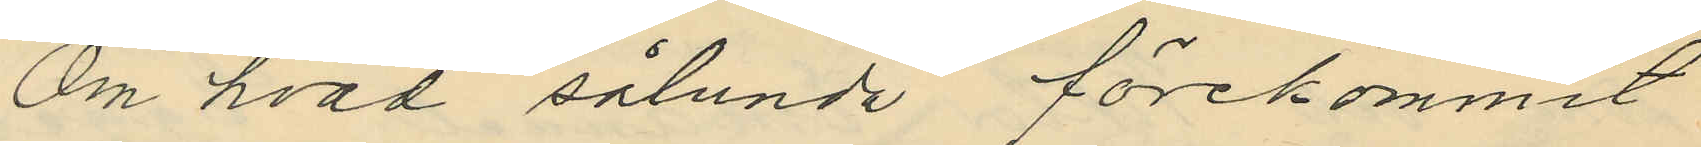Om hvad sålunda förekommit
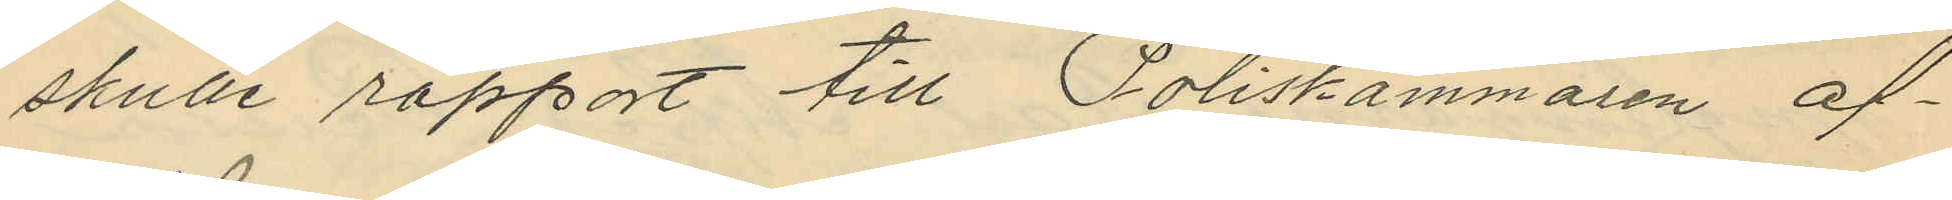skulle rapport till Poliskammaren af¬
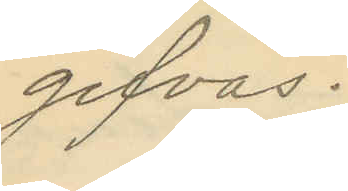gifvas.
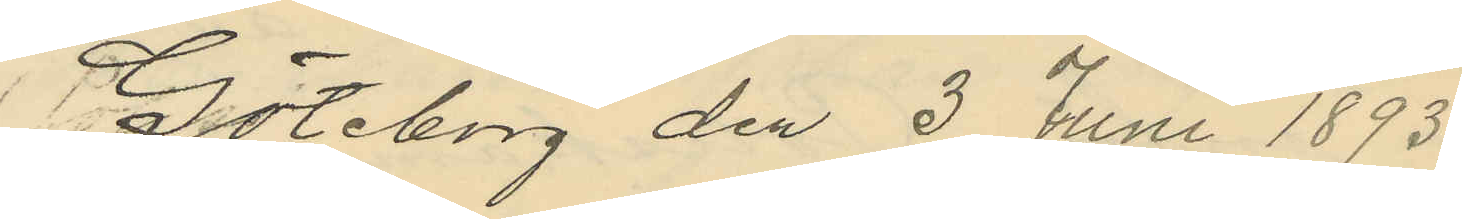Göteborg den 3 Juni 1893.
